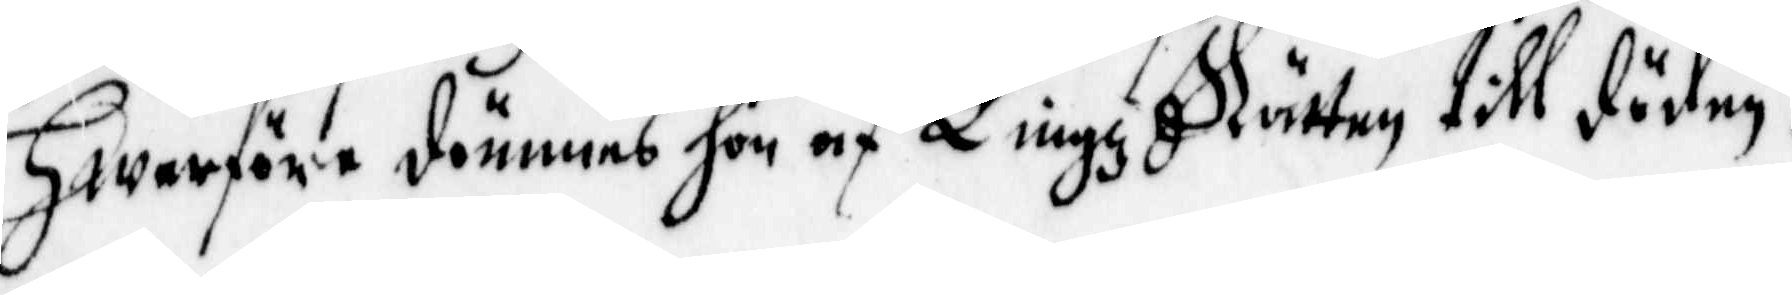Hwarföre dömmes hon af Tingz Rätten till döden.
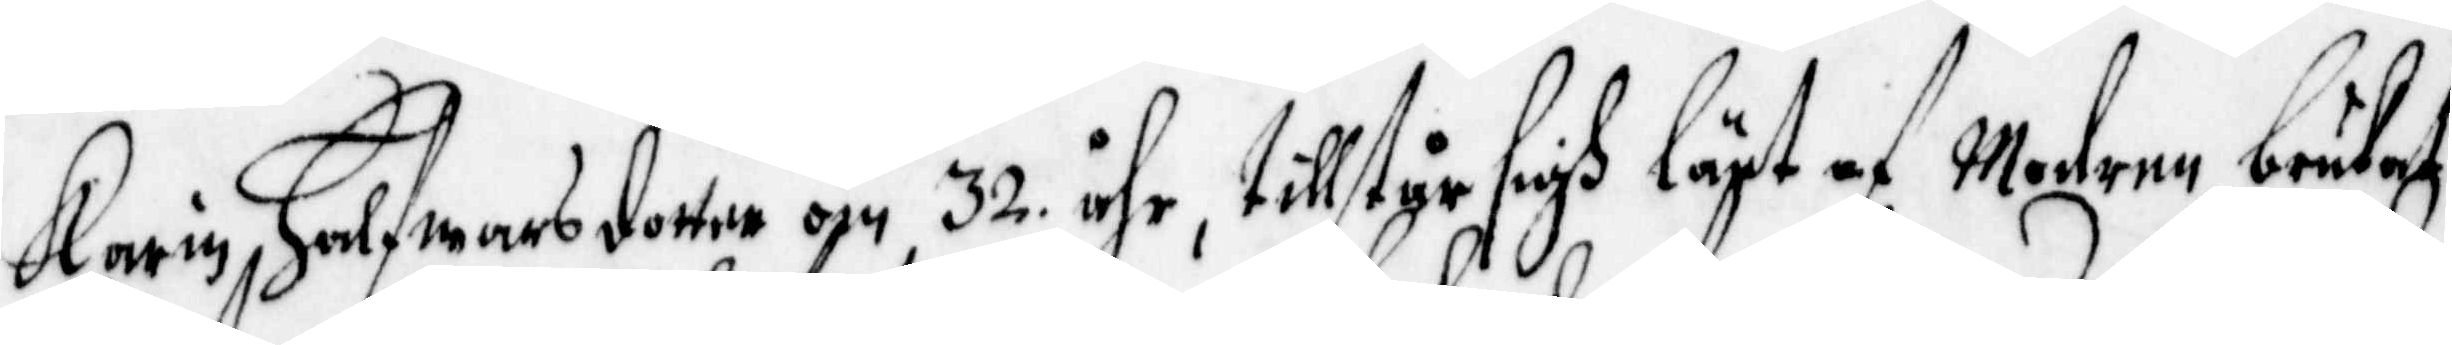Karin Halfwarsdotter om 32 åhr, tillstår sigh lärt af Modern brukat
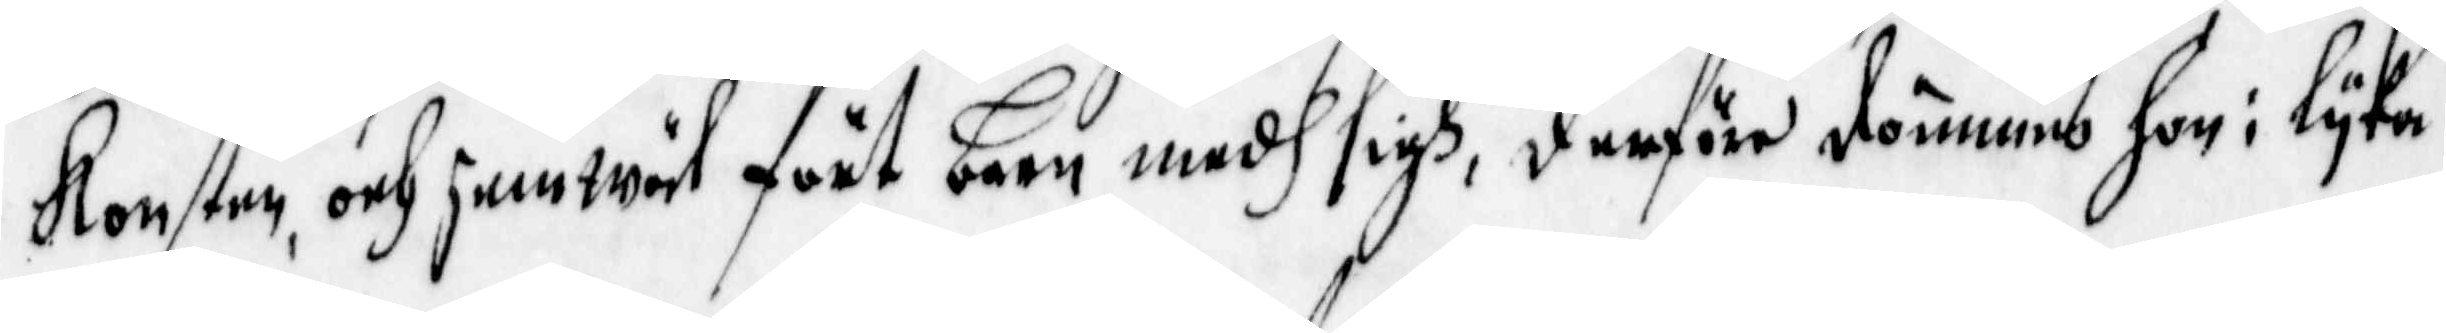Konsten, och jemwäl fört barn medh sigh, deföre dömmes hon i lyka
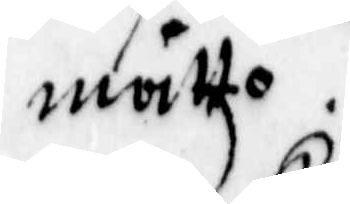måtto.
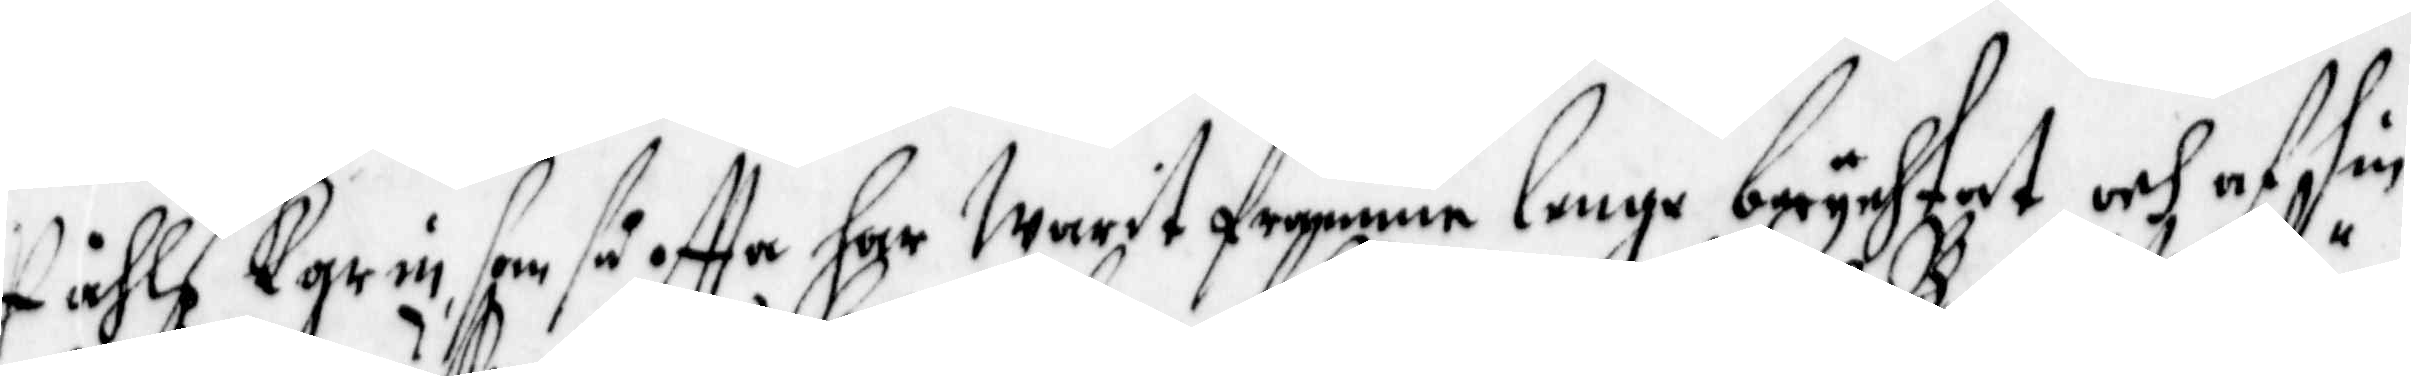Påhls Karin, som så offta har Warit framme, lenge berychtat och af sin
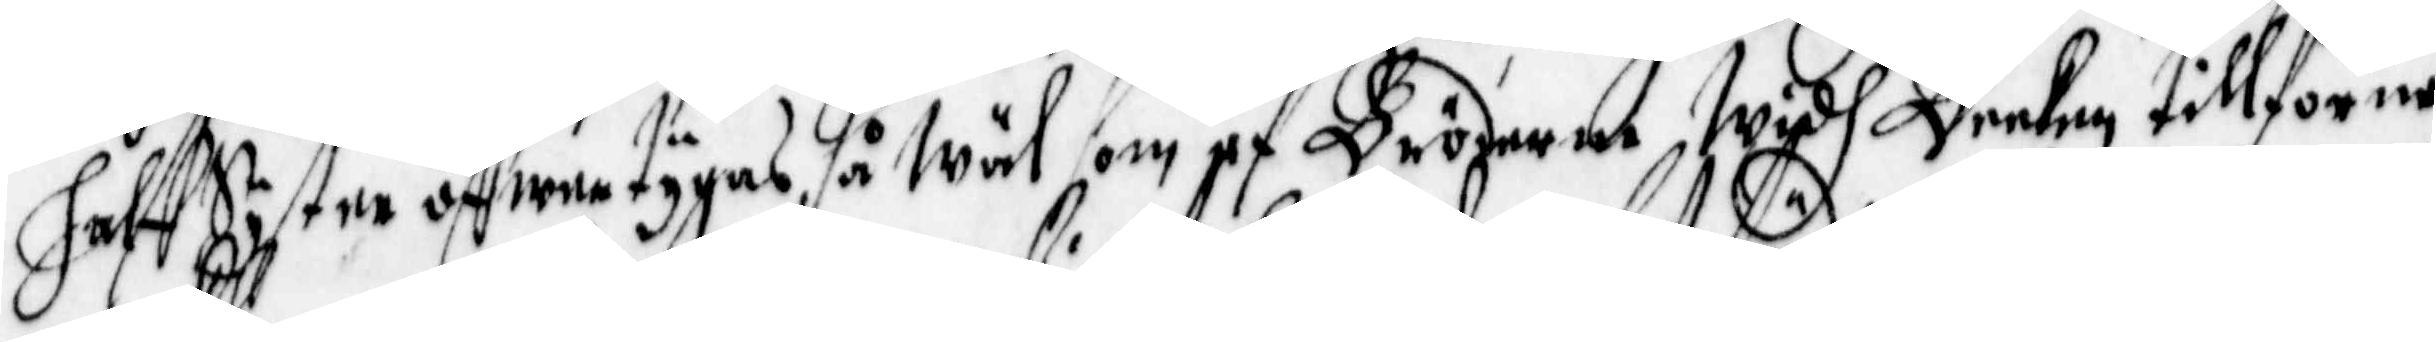halff Syster öffwertygas, så Wäl som af Bröderne Widh Becken tillförne
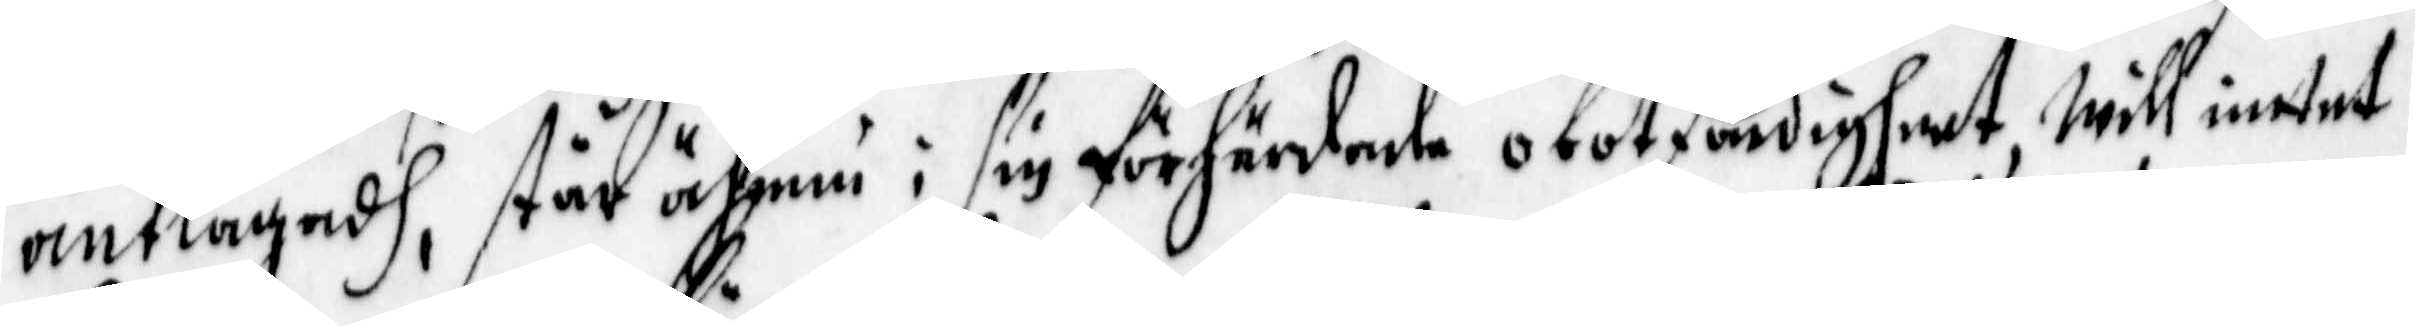anklagadh, står ähnnu i sin förhärdade obotfärdigheet, will intet
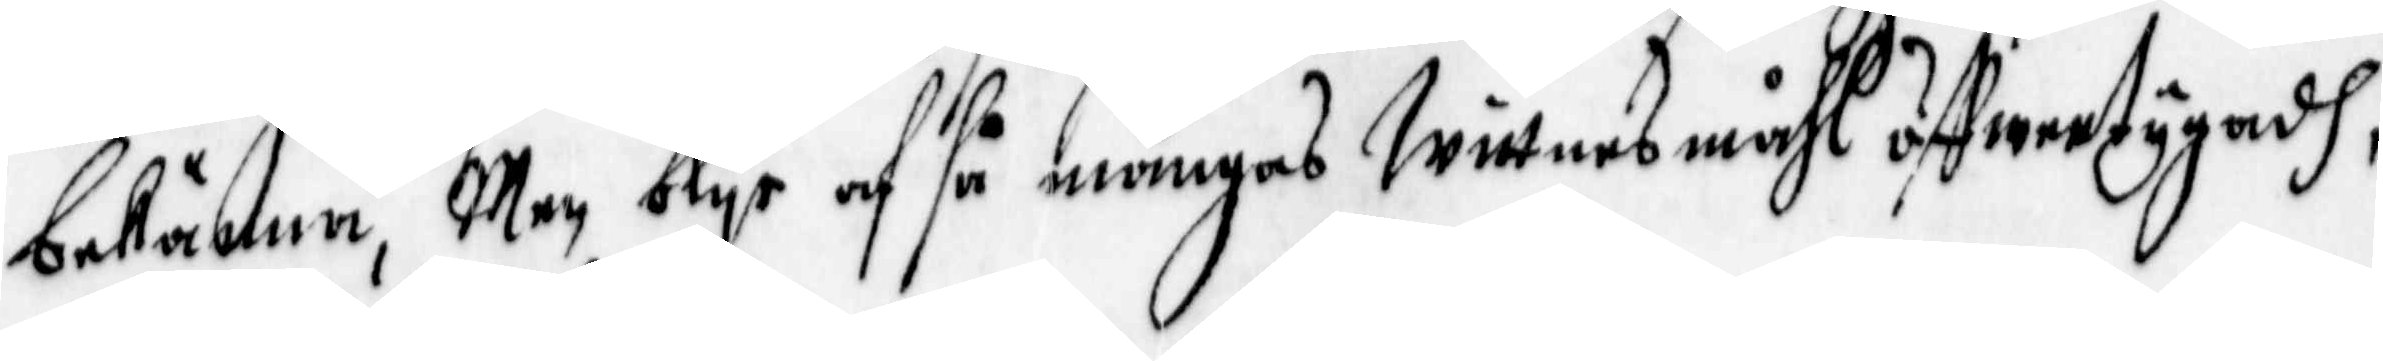bekänna, Men blyr af så mångas Wittnesmåhl öffwertygadh,
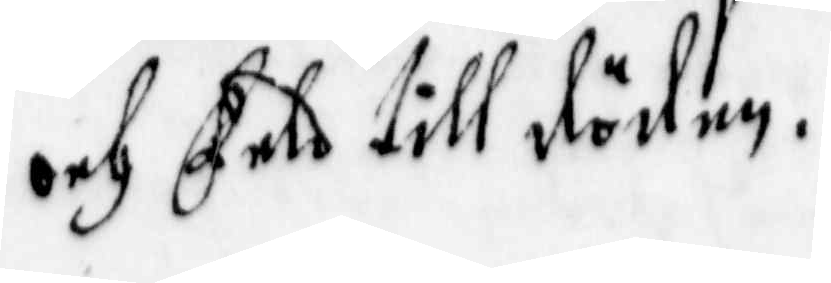och Feld till döden.
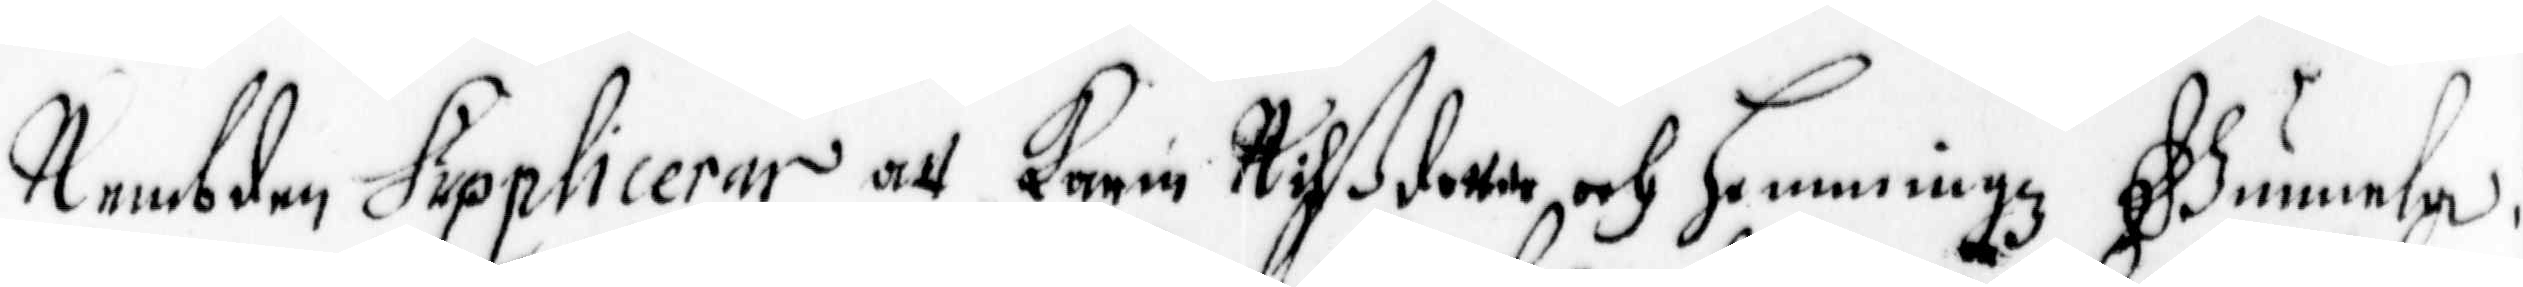Nembden Supplicerar att Karin Nilßdotter och Hemmingz Gunnela i
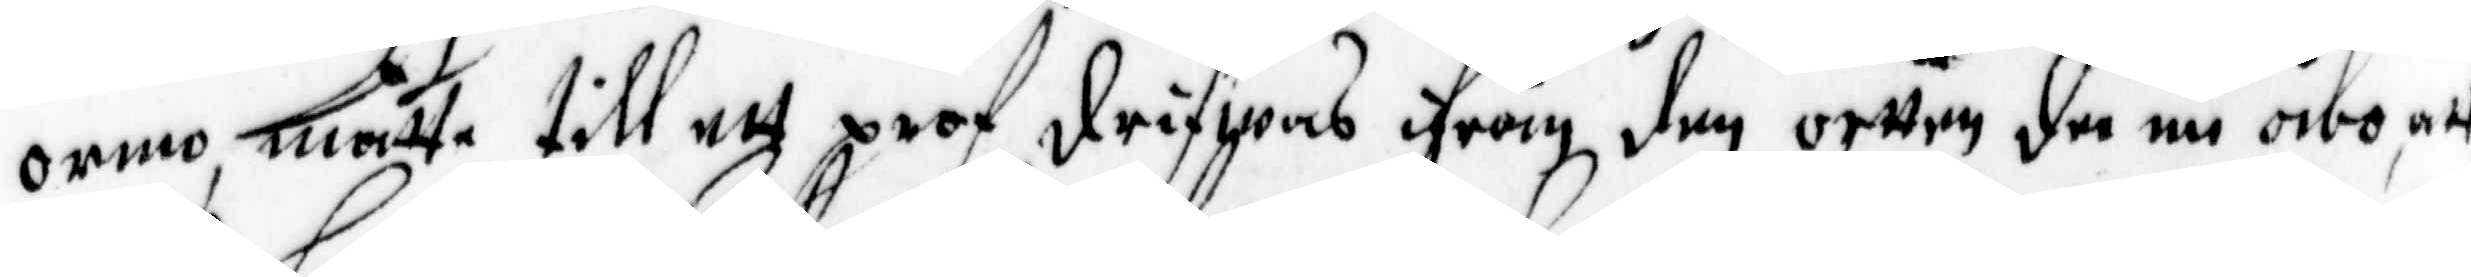ormo måtte till ett prof drifwas ifrån den ortten dee nu åbo, att
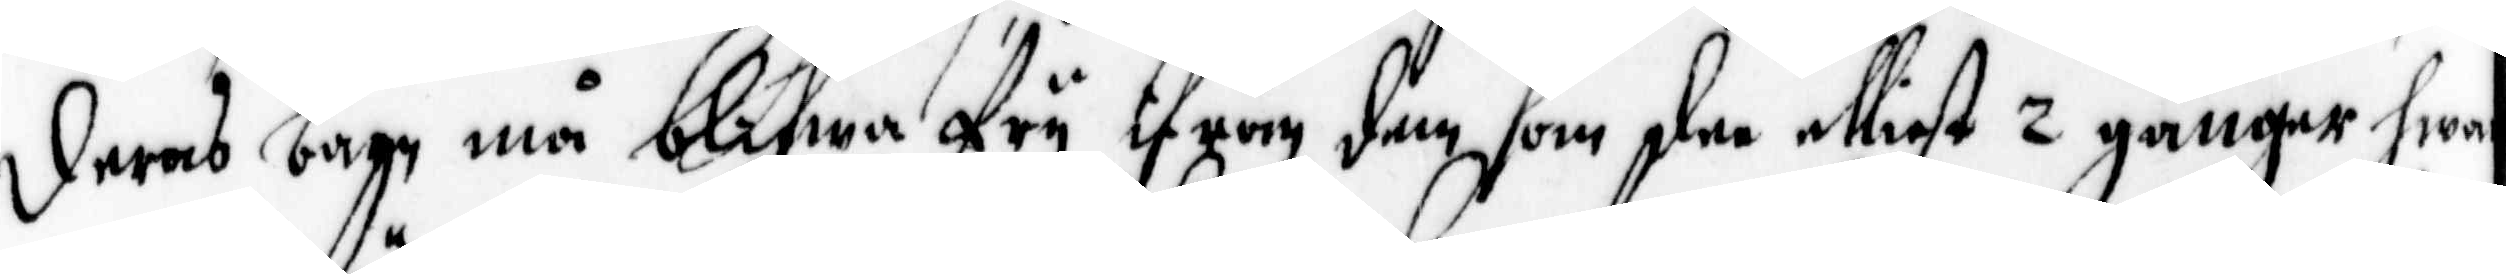deras barn må blifwa fry ifrån dem som elliest 2 gånger hwar¬
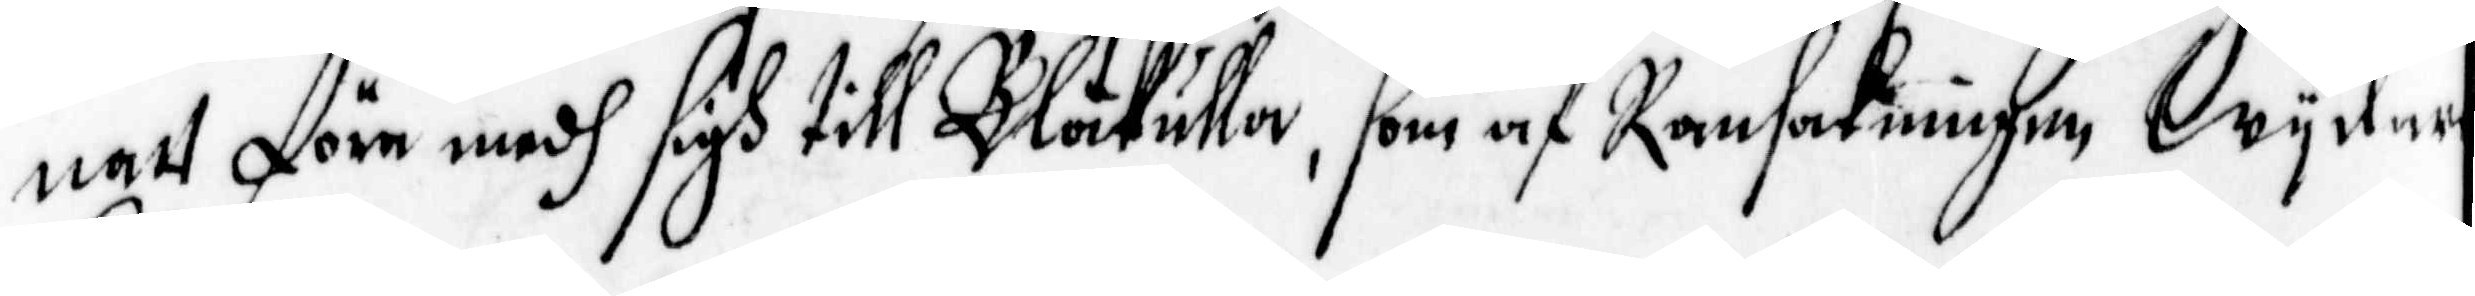natt före medh sigh till Blåkulla, som af Ransakningen Wydare
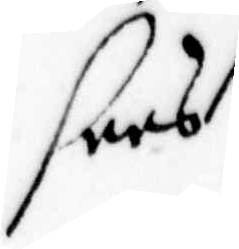sees.
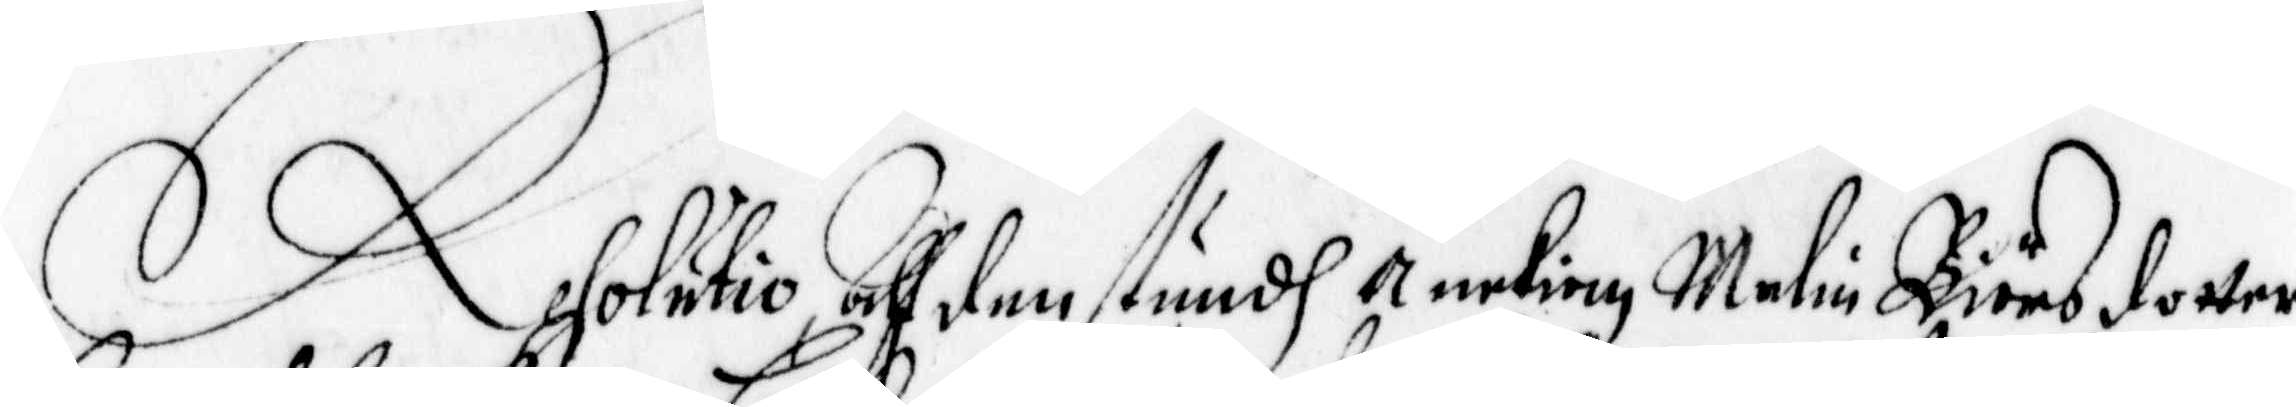Resolutio, All den stundh Änkian malin Biörsdotter
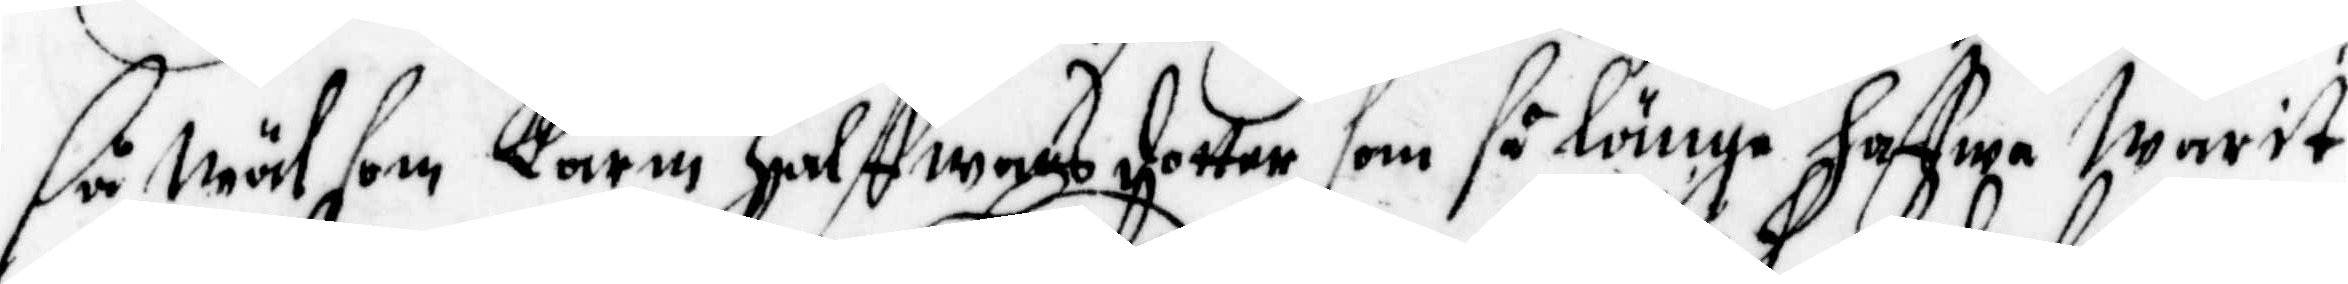så wäl som karin Halffwarsdotter, som så länge hafwa Warit
